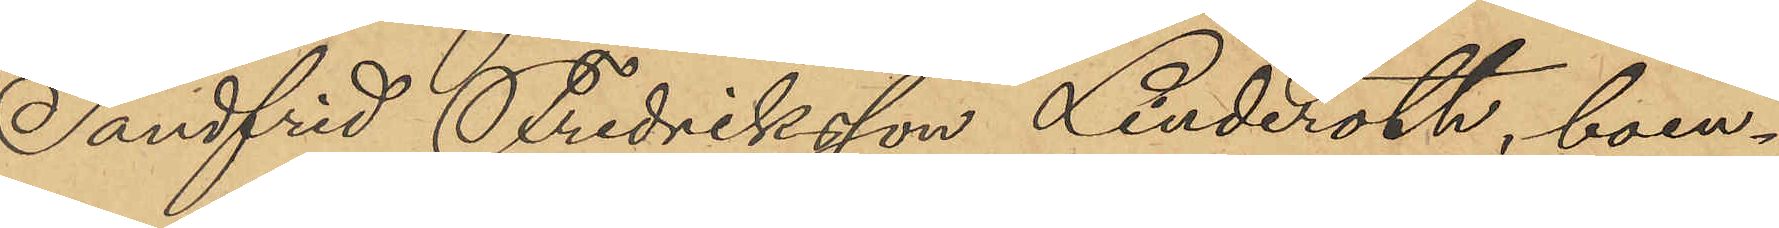Sandfrid Fredriksson Linderoth, boen¬
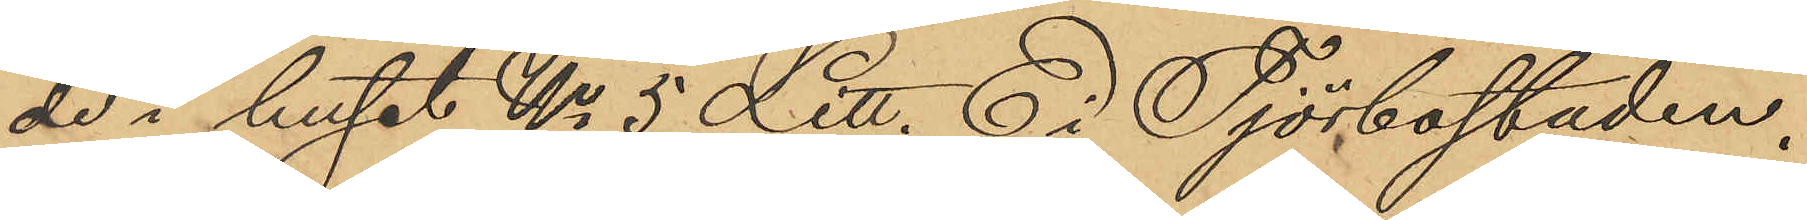de i huset No 5 Litt. E i Tjörbostaden.
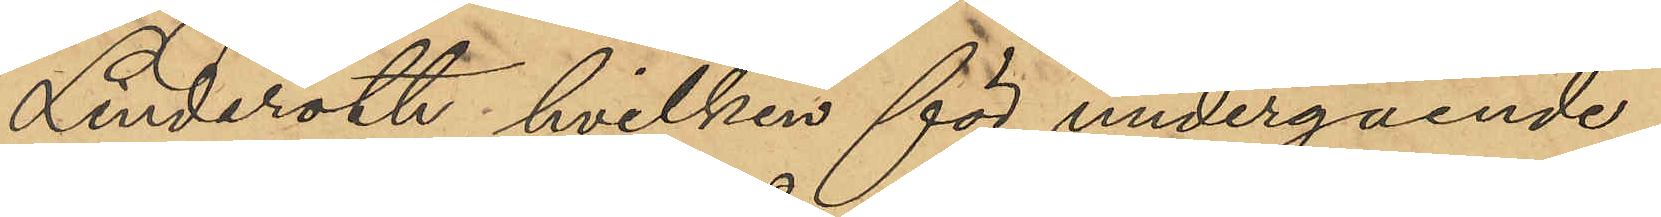Linderoth, hvilken för undergående
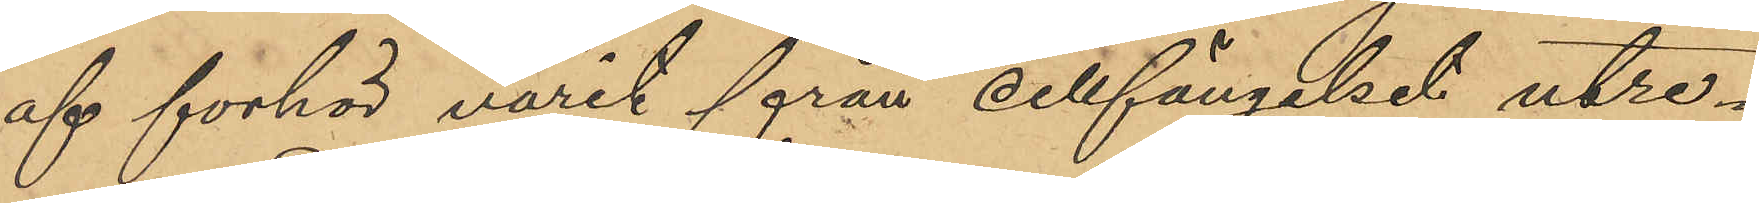af förhör varit från cellfängelset utre¬
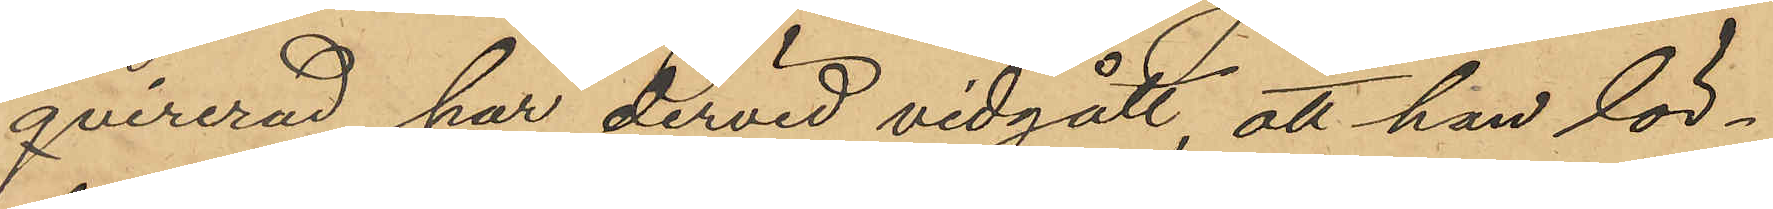quirerad, har dervid vidgått att han lör¬
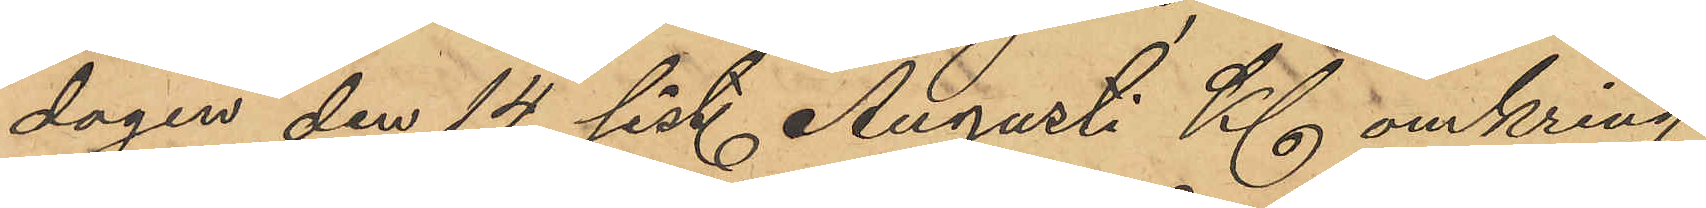dagen den 14 sist. Augusti Kl omkring
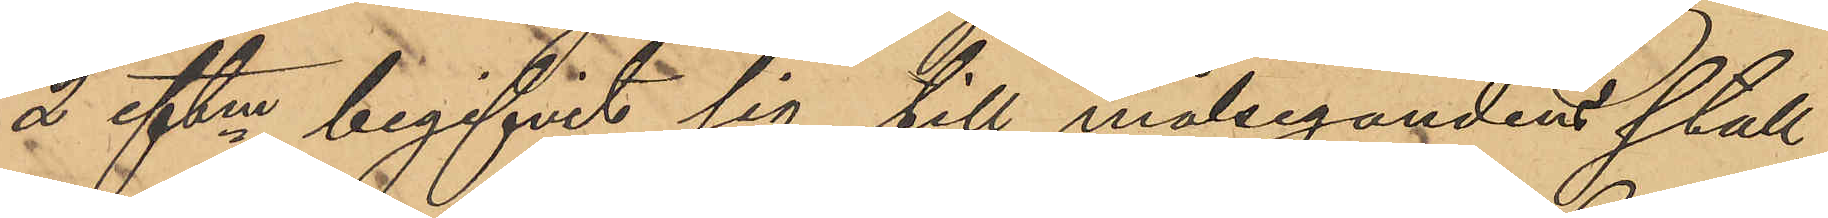2 eftm begifvit sig till målseganden stall,
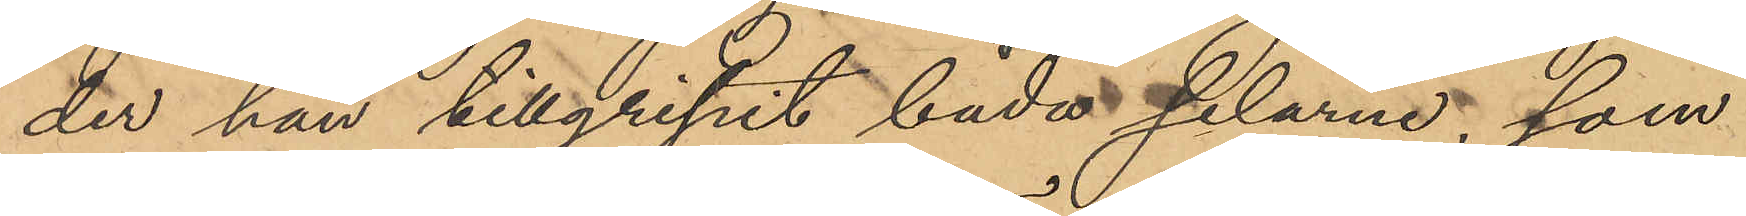der han tillgripit båda selarna, som
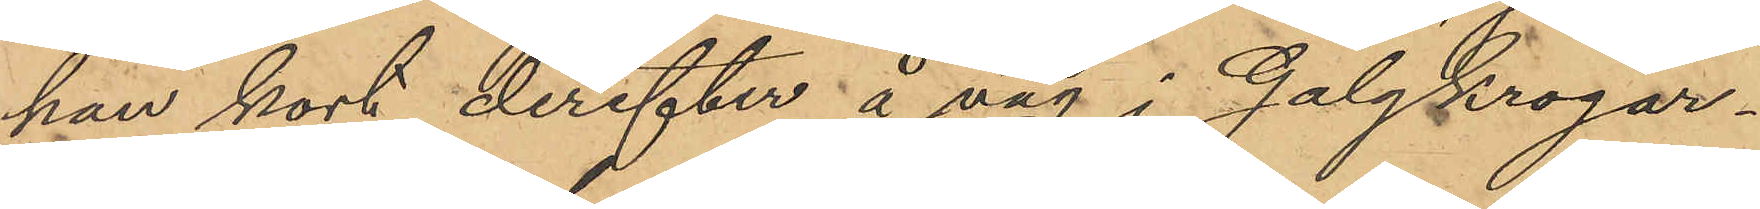han kort derefter å väg i Galgkrogar¬
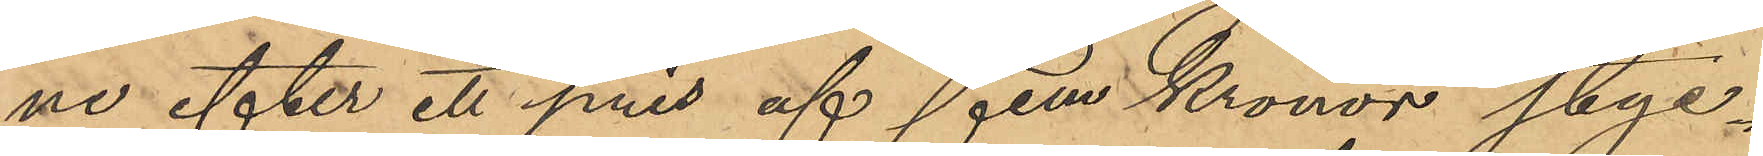ne efter ett pris af fem Kronor styc¬
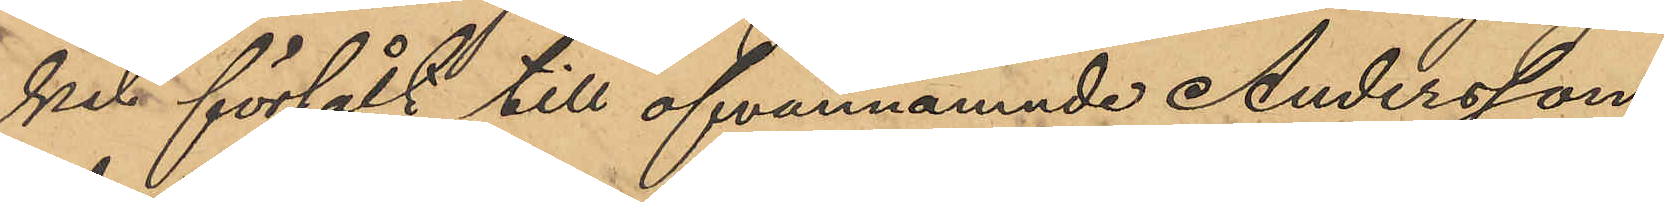ket försålt till ofvannämnde Andersson
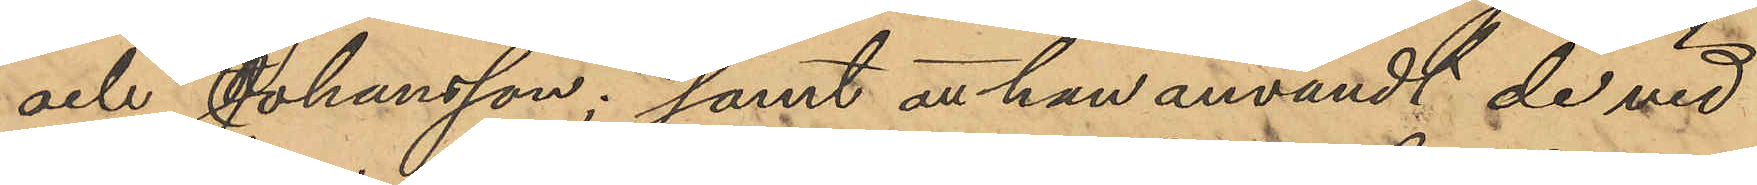och Johansson; samt att han användt de vid
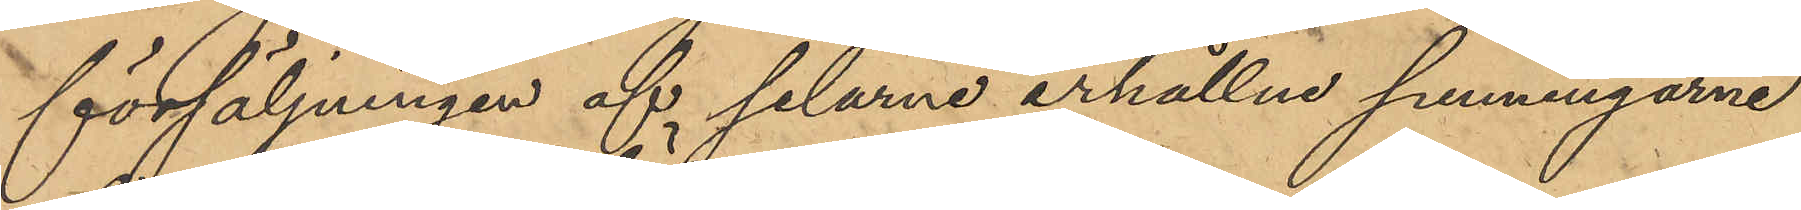försäljningen af selarne erhållne penningarne
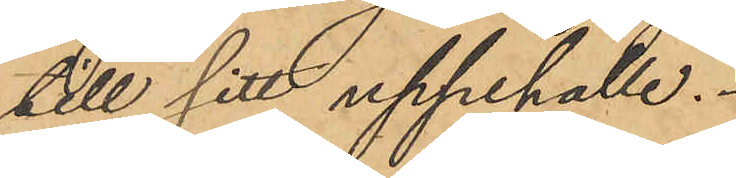till sitt uppehälle.
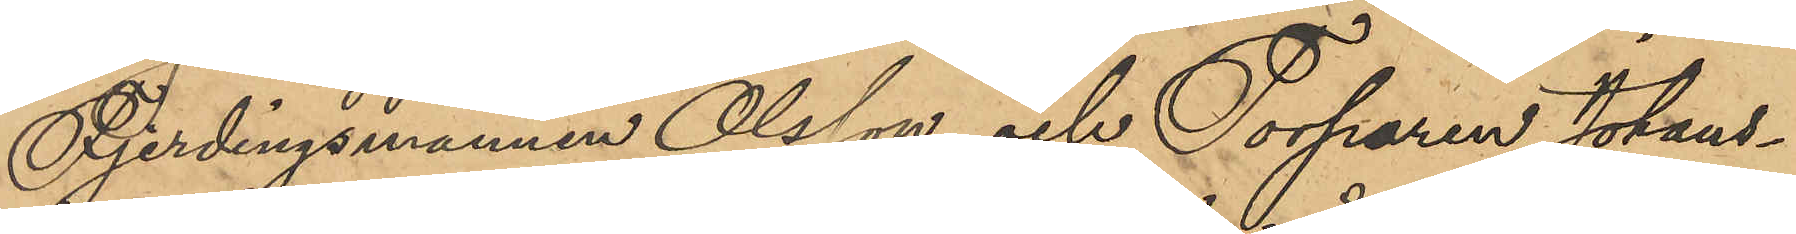Fjerdingsmannen Olsson och Torparen Johans¬
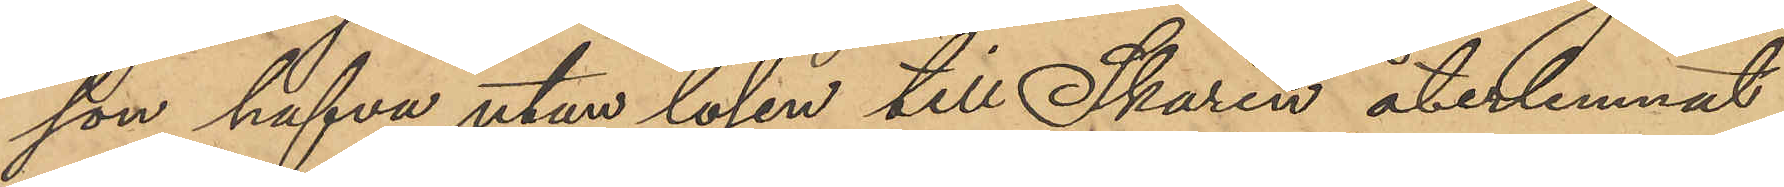son hafva utan lösen till Skarin återlemnat
